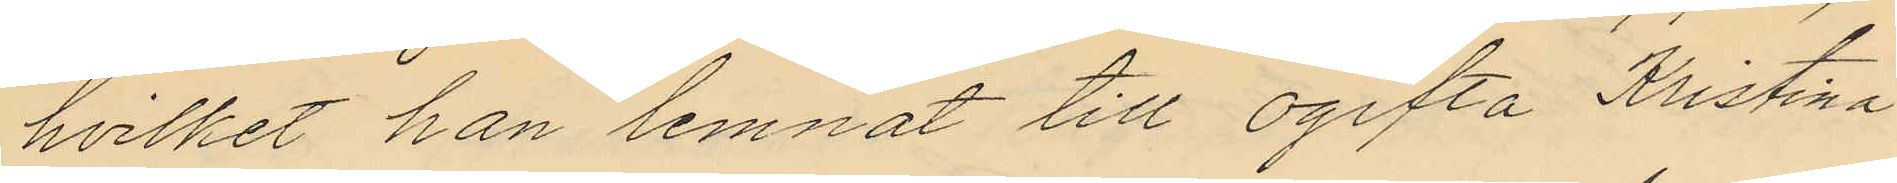hvilket han lemnat till ogifta Kristina
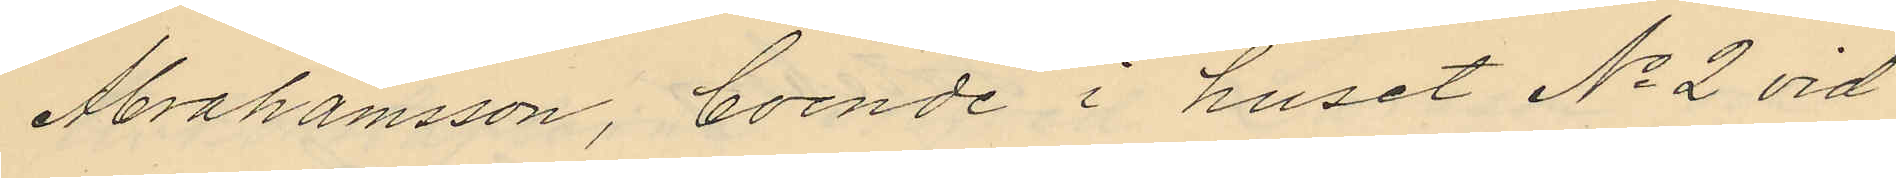Abrahamsson, boende i huset No 2 vid
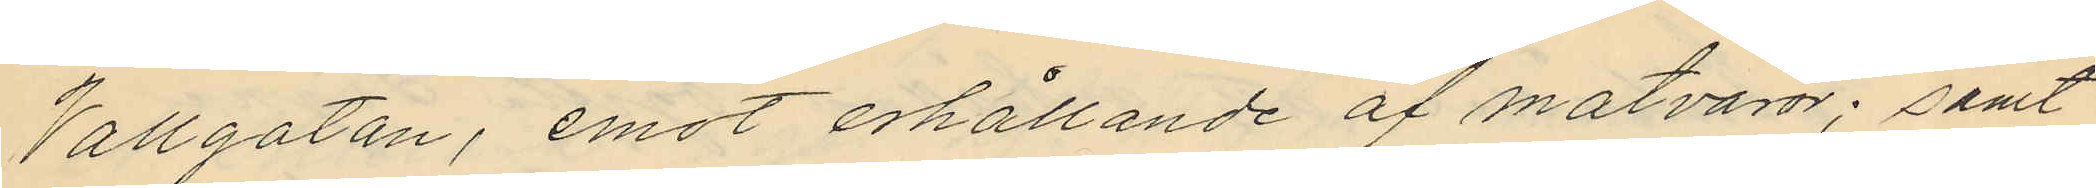Vallgatan, emot erhållande af matvaror; samt
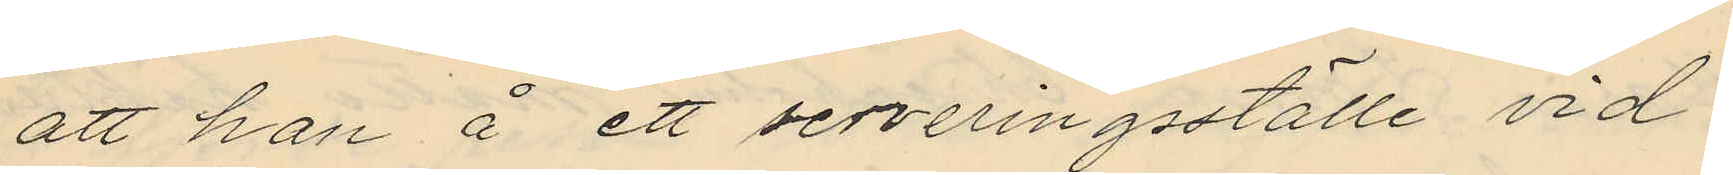att han å ett serveringsställe vid
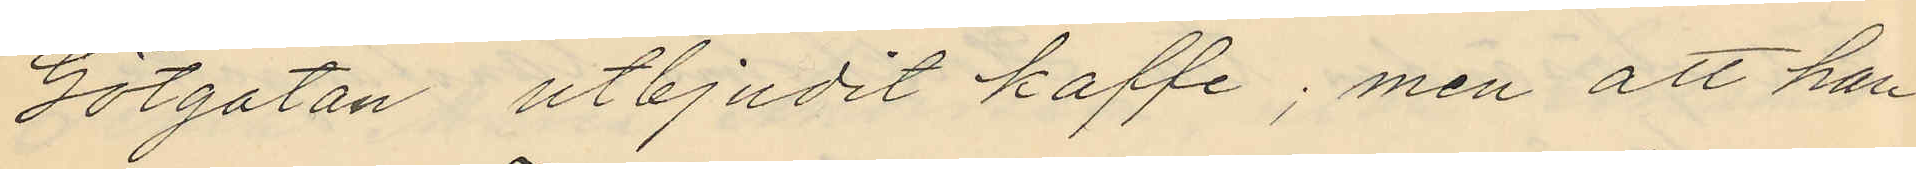Götgatan utbjudit kaffe; men att han
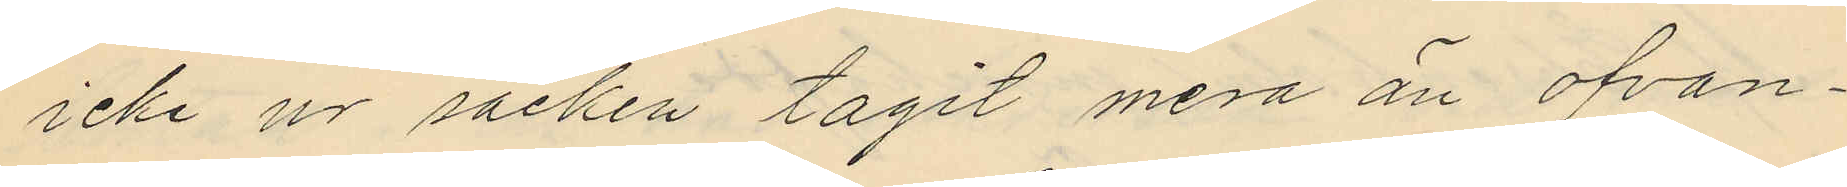icke ur säcken tagit mera än ofvan¬
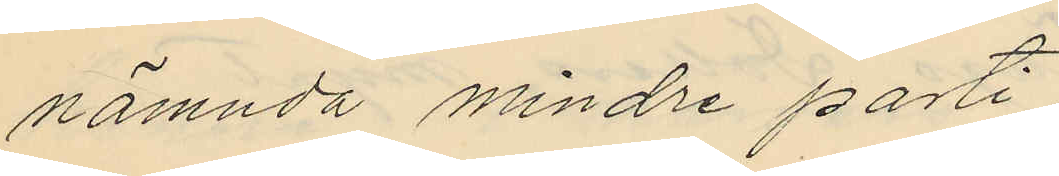nämnda mindre parti.
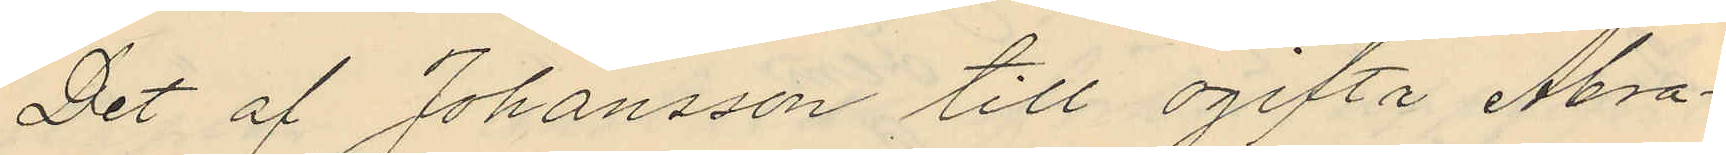Det af Johansson till ogifta Abra¬
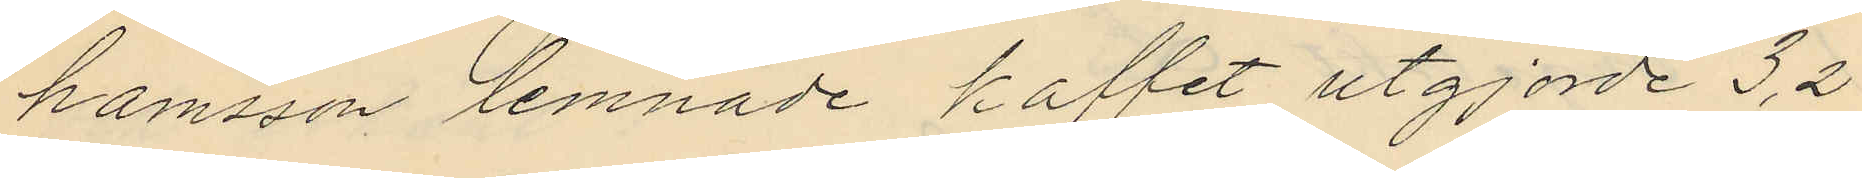hamsson lemnade kaffet utgjorde 3,2
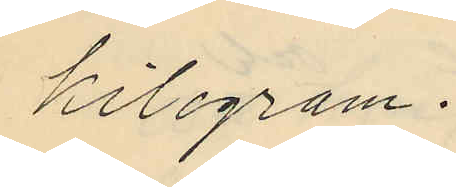kilogram.
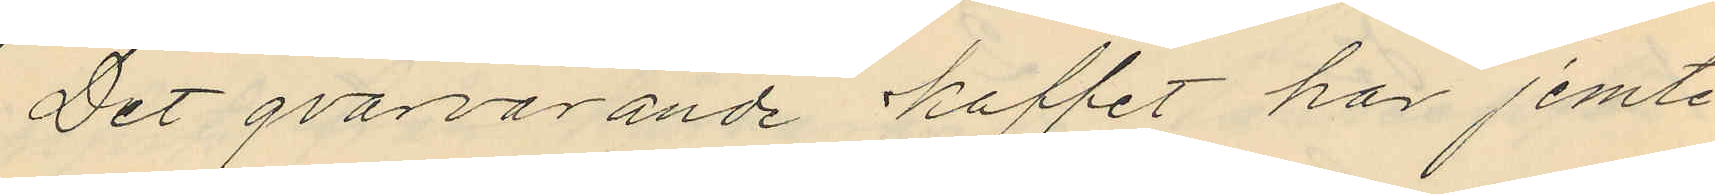Det qvarvarande kaffet har jemte
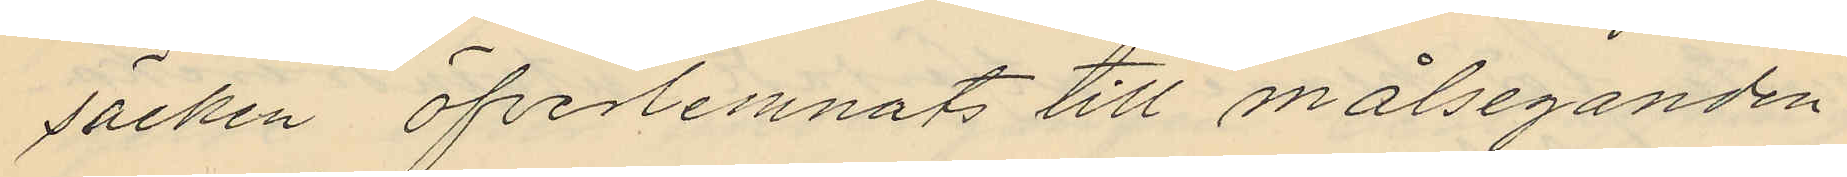säcken öfverlemnats till målseganden
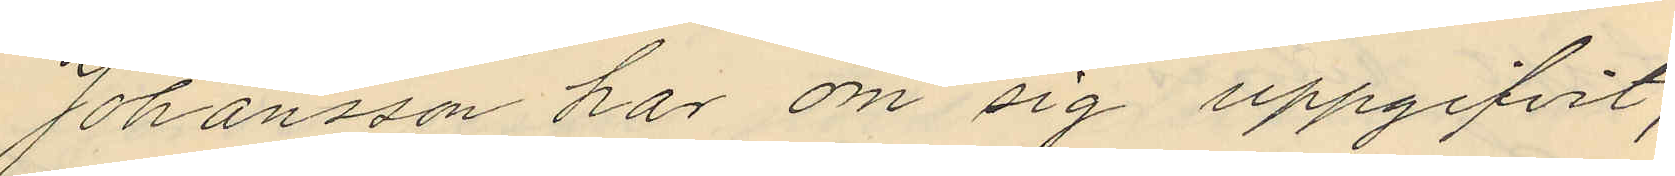Johansson har om sig uppgifvit,
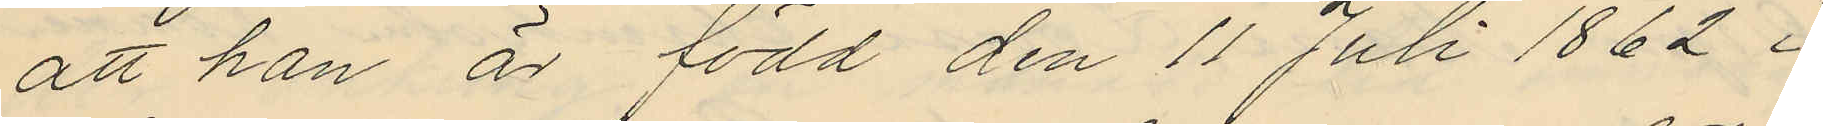att han är född den 11 Juli 1862 i
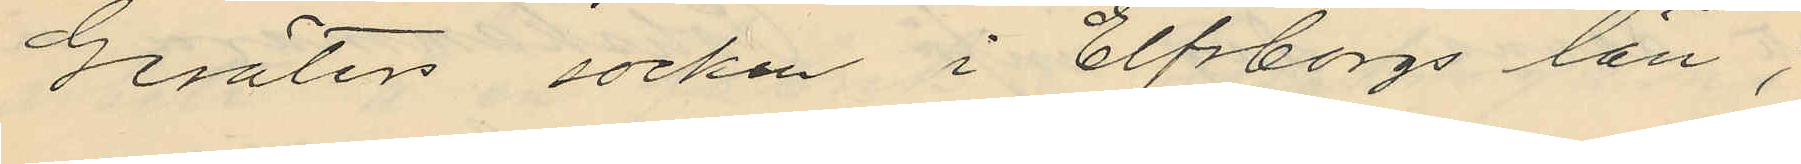Gesäters socken i Elfsborgs län,
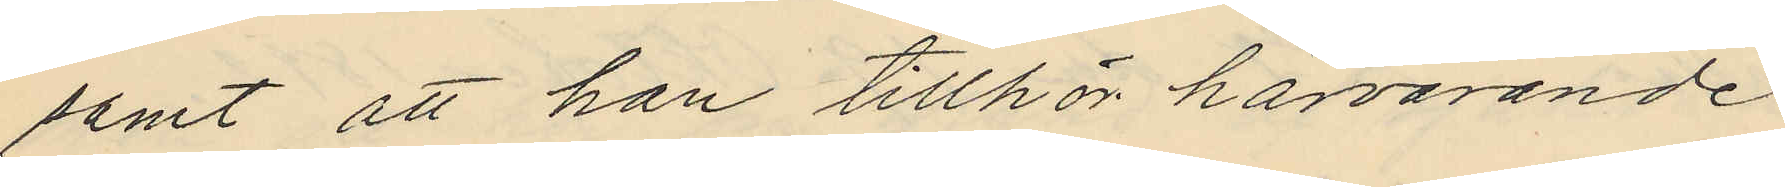samt att han tillhör härvarande
